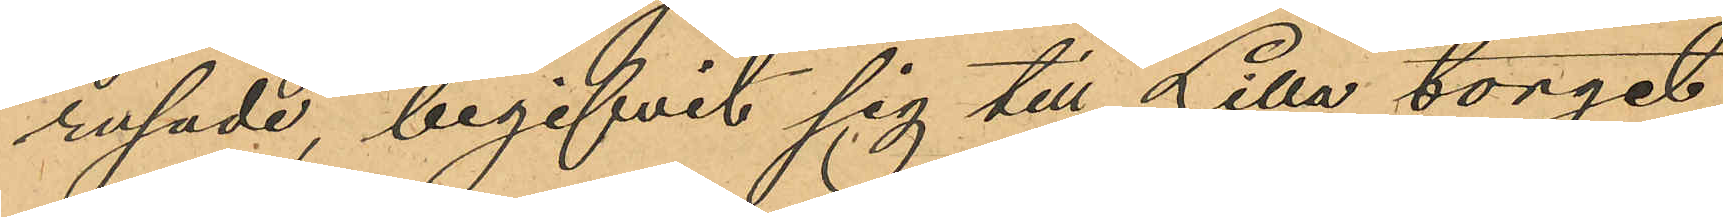rusade, begifvit sig till Lilla torget,
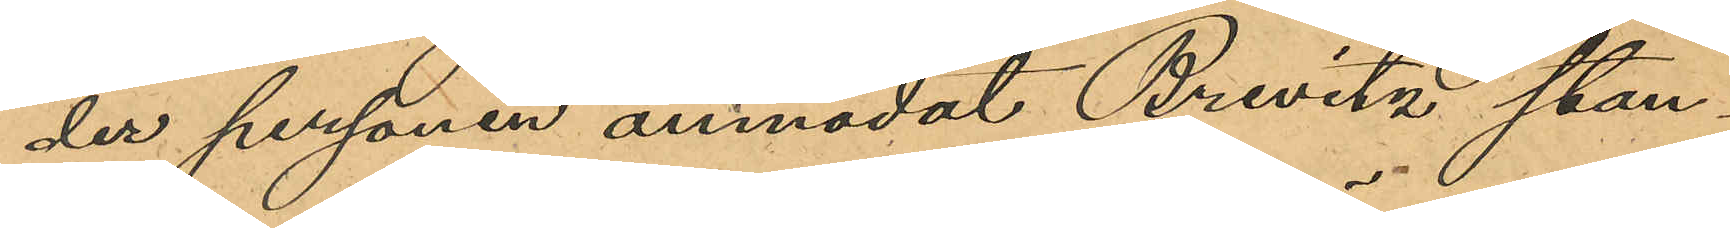der personen anmodat Brevitz stan¬
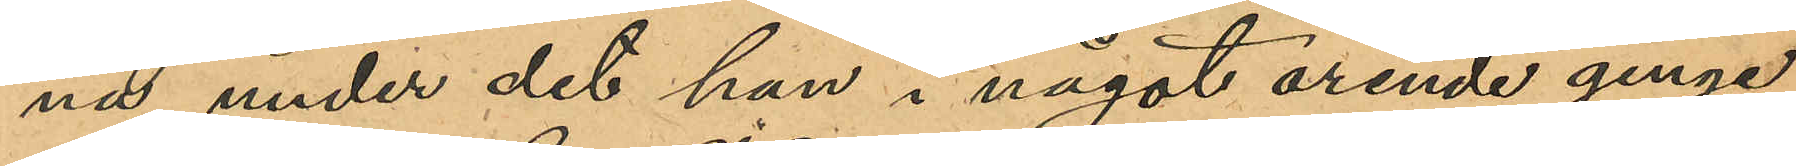na under det han i något ärende ginge
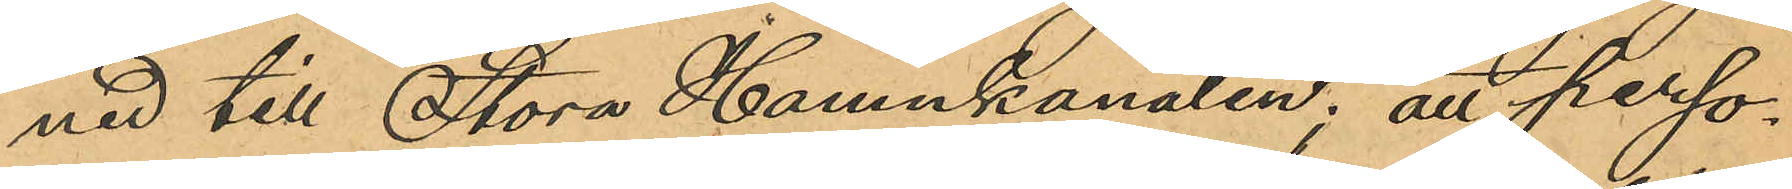ned till Stora Hamnkanalen; att perso¬
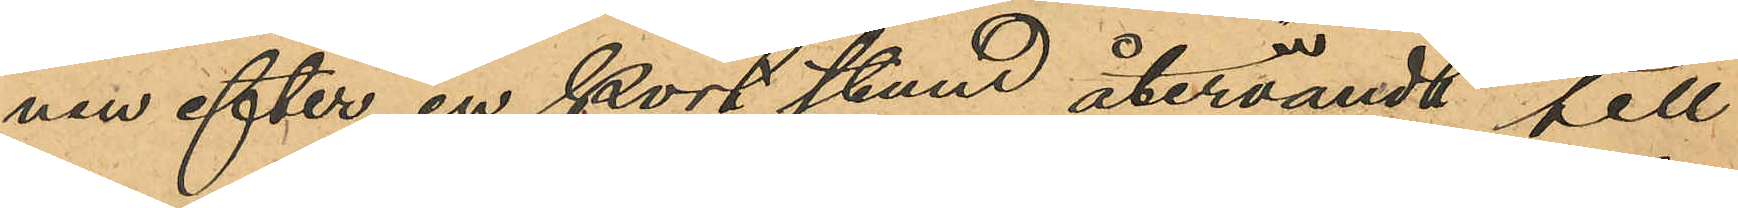nen efter en kort stund återvändt till
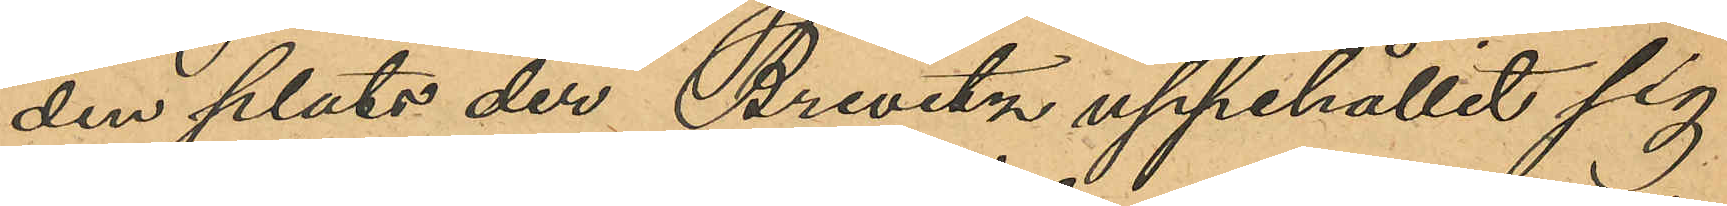den plats der Brevitz uppehållit sig
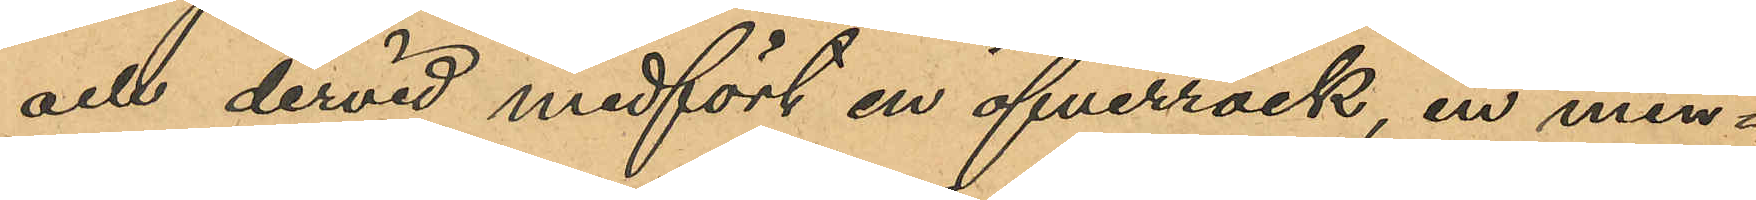och dervid medfört en öfverrock, en min¬
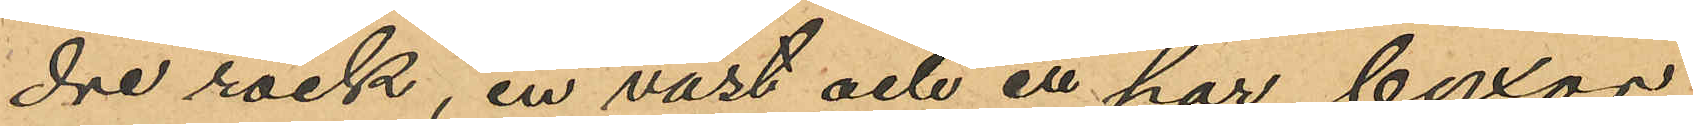dre rock, en väst och ett har byxor,
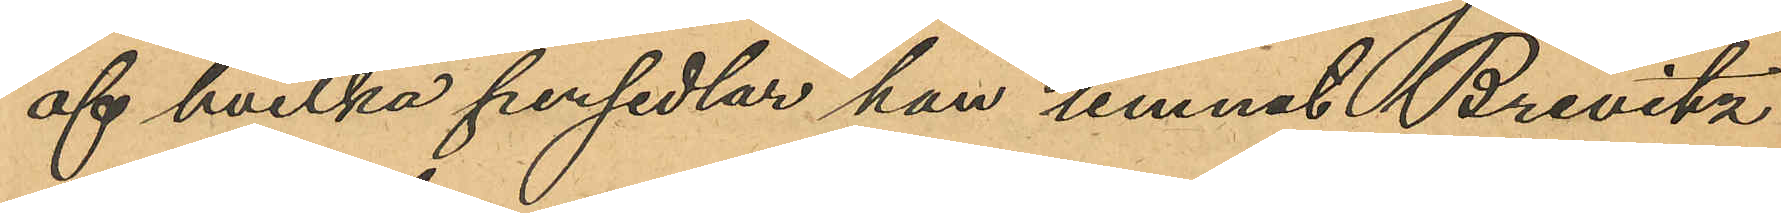af hvilka persedlar han lemnat Brevitz
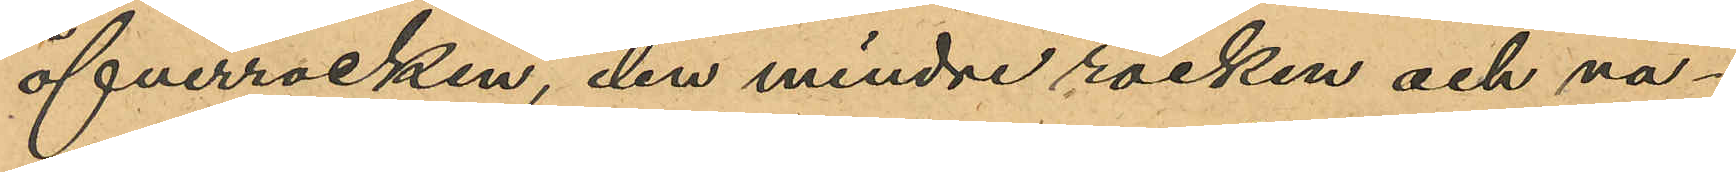öfverrocken, den mindre rocken och vä¬
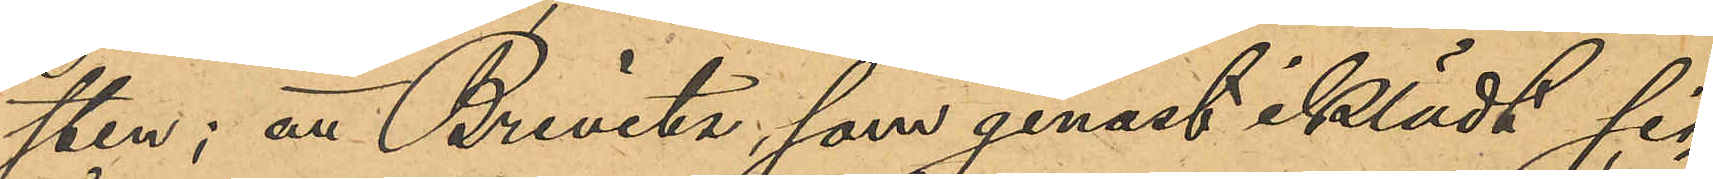sten; att Brevitz, som genast iklädt sig
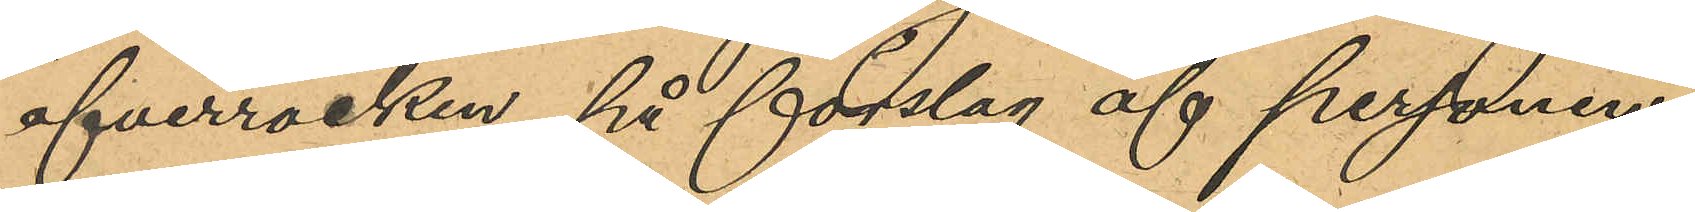öfverrocken, på förslag af personen,
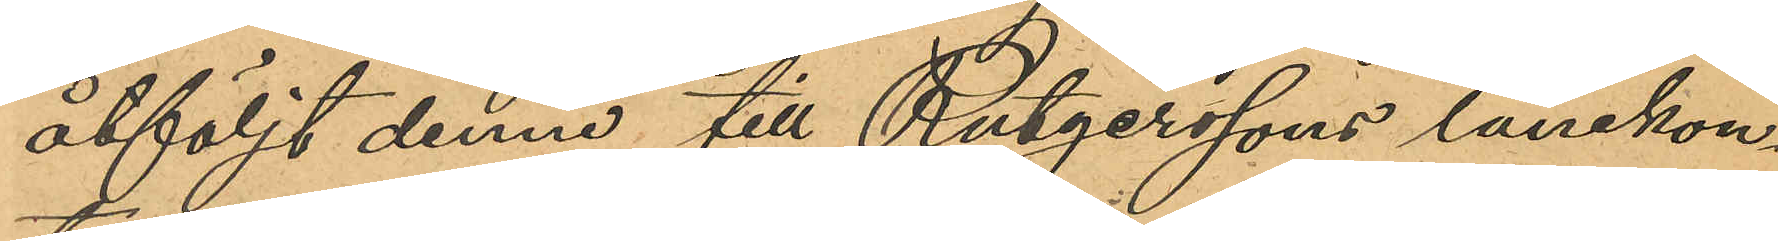åtföljt denne till Rutgerssons lånekon¬
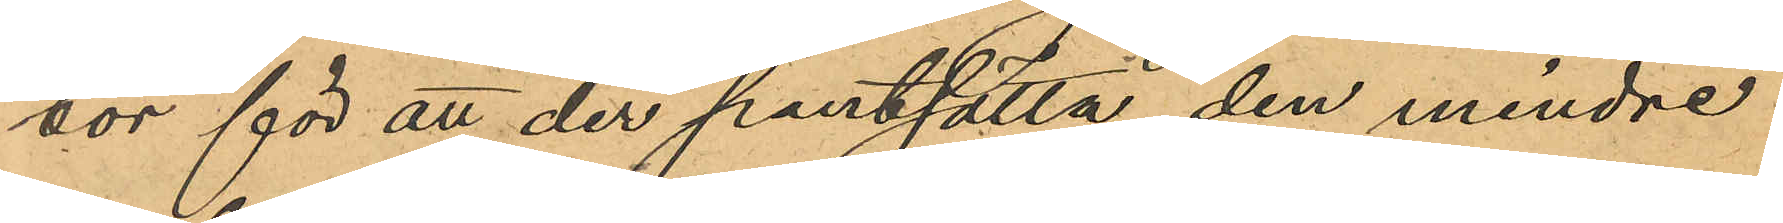tor för att der pantsätta den mindre
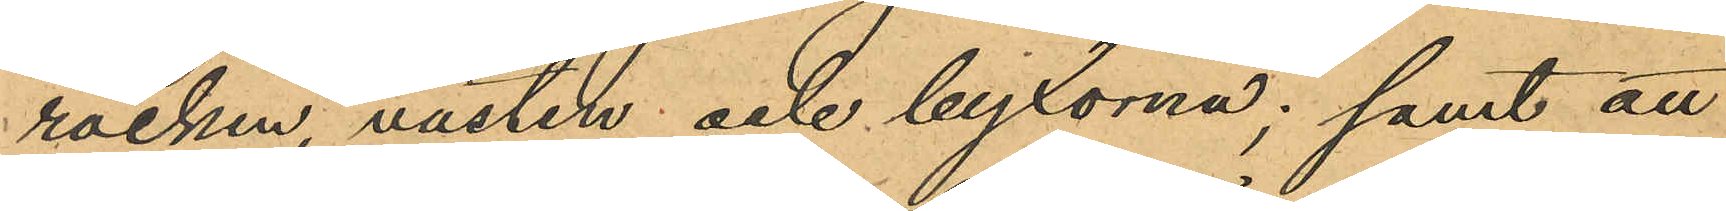rocken, västen och byxorna; samt att
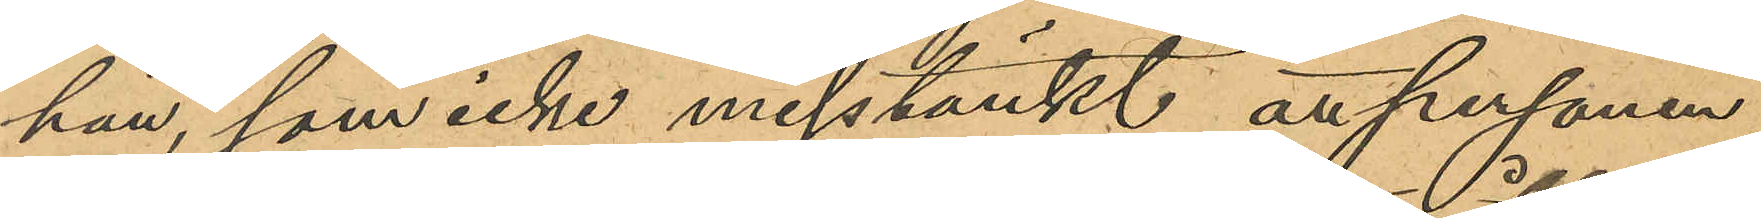han, som icke misstänkt att personen
